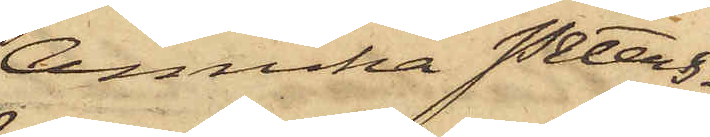Annika Peters¬
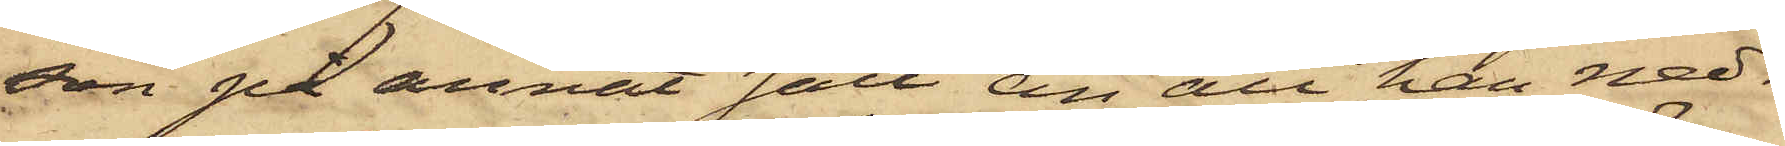son på annat sätt en att han ned¬
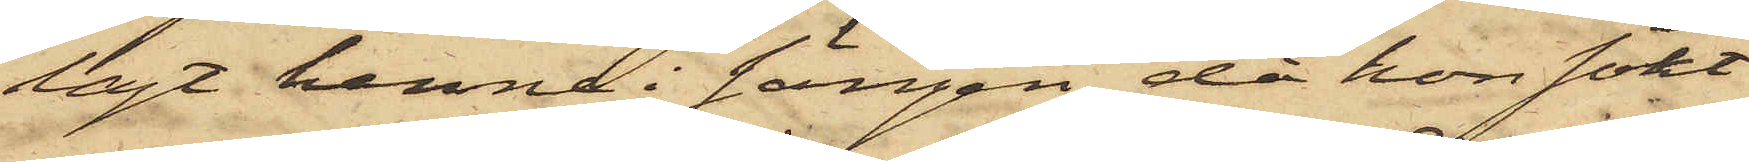lagt henne i sängen, då hon sökt
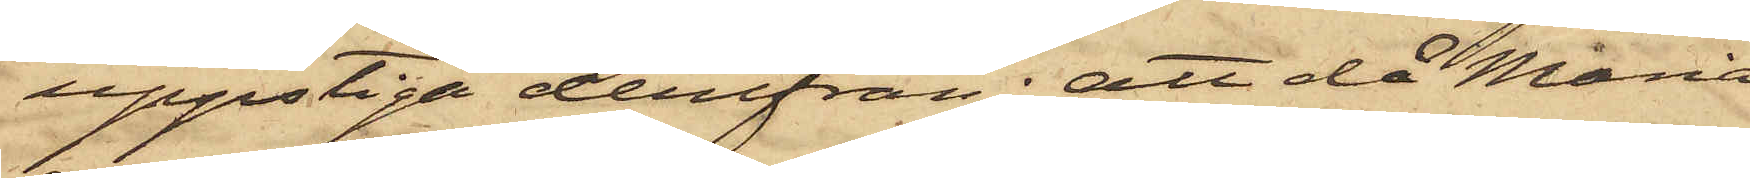uppstiga derifrån; att då Maria
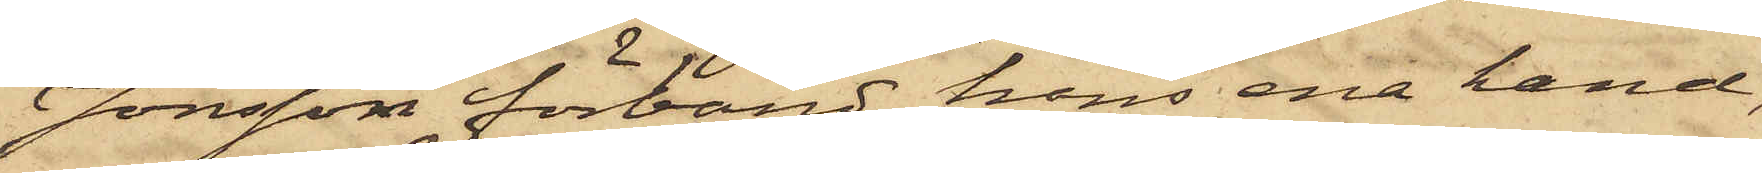Jonsson förband hans ena hand,
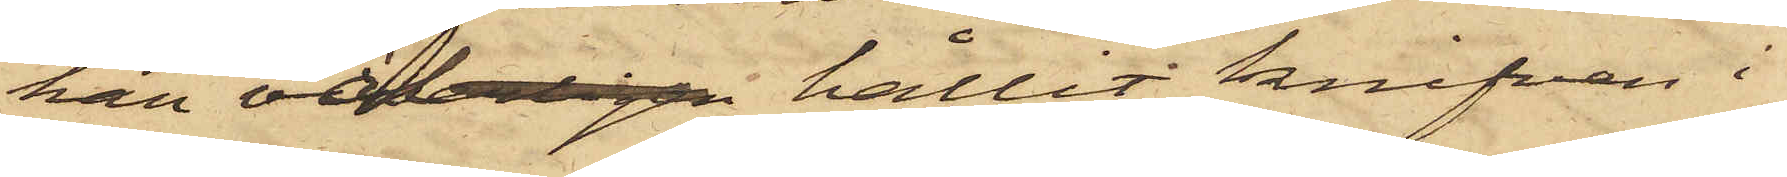han väl hållit knifven i
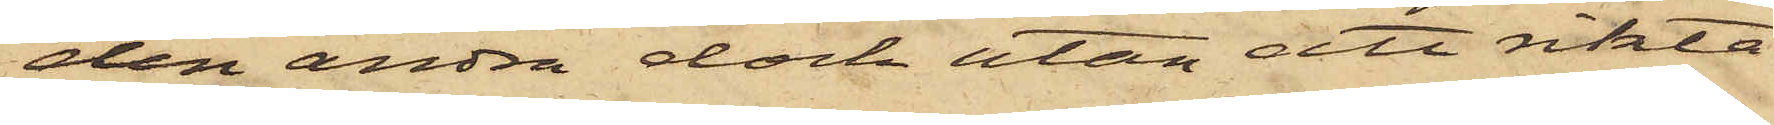den andra dock utan ett rikta
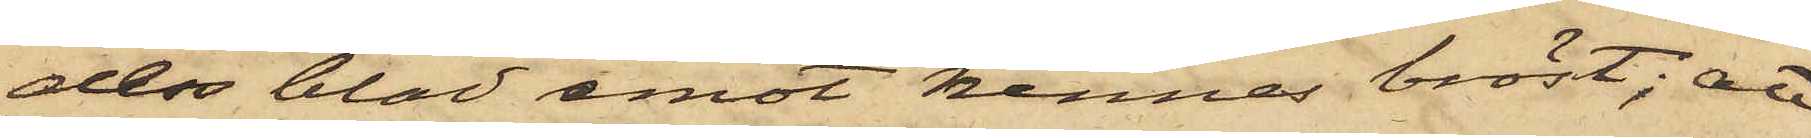dess blad emot hennes bröst; att
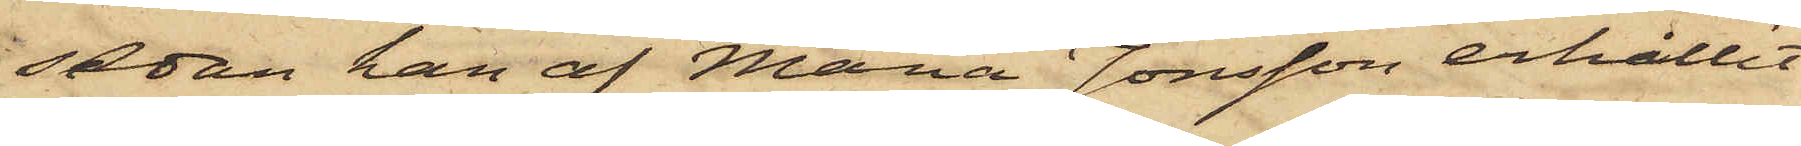sedan han af Maria Jonsson erhållit
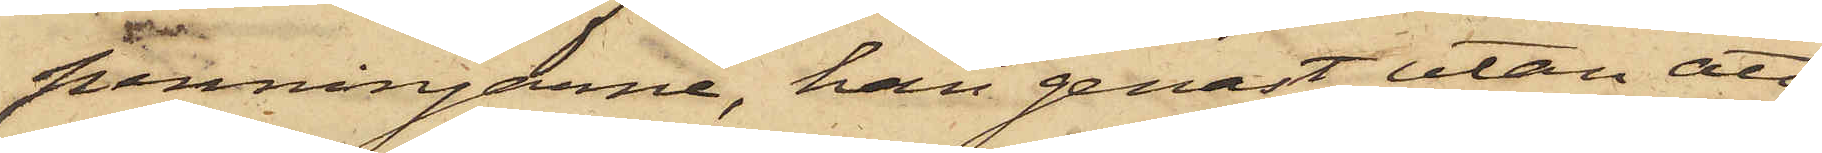penningarne, han genast utan att
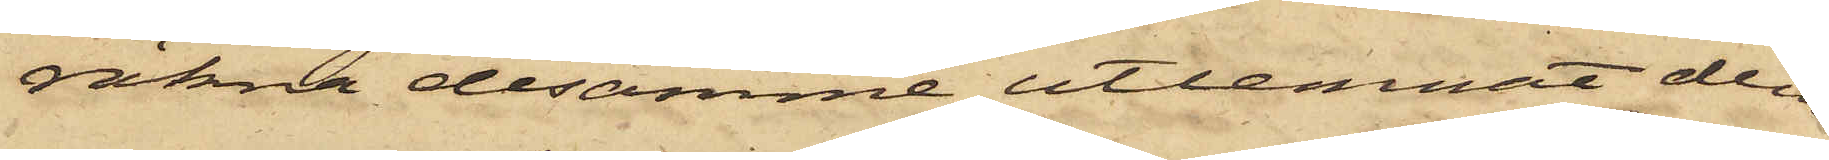räkna desamme utlemnat dem
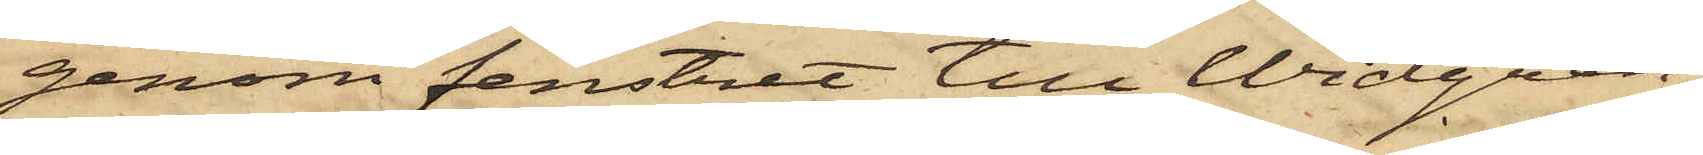genom fenstret till Widgren,
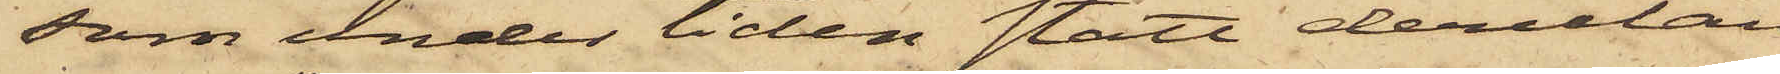som under tiden stått derutan¬
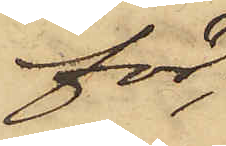för;
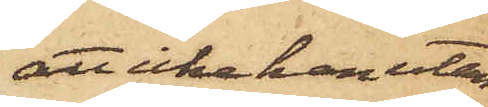att icke han utan
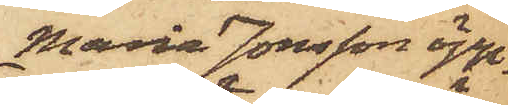Maria Jonsson öpp¬
